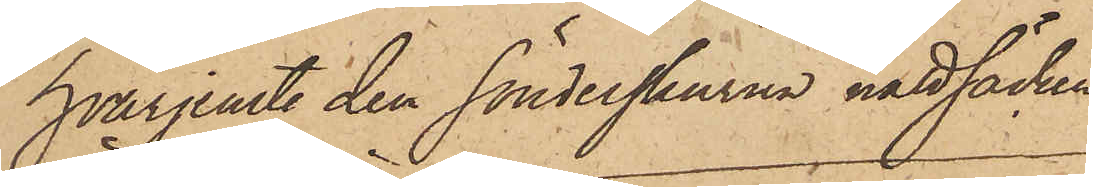hvarjemte den sönderskurna nattsäcken
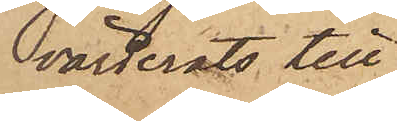värderats till
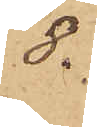8.
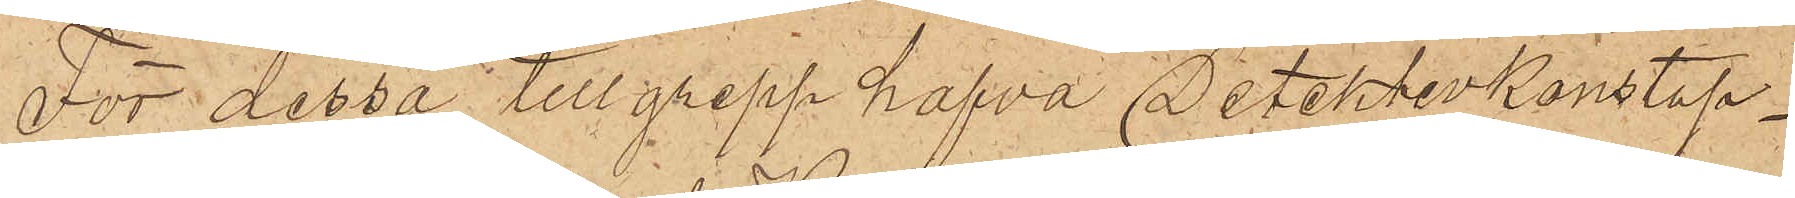För dessa tillgrepp hafva Detektivkonstap¬
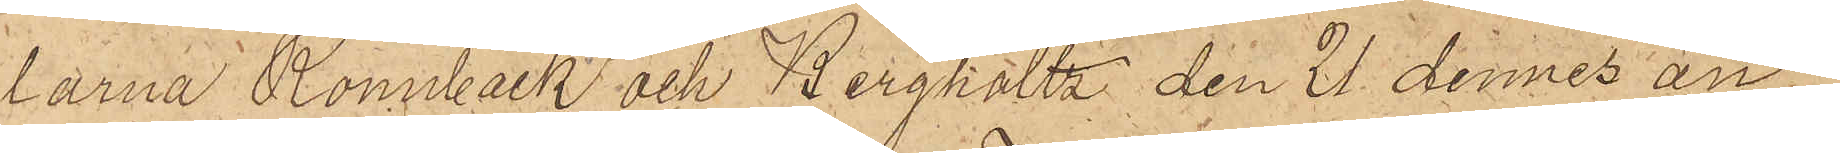larna Rönnbäck och Bergholtz den 21 dennes an¬
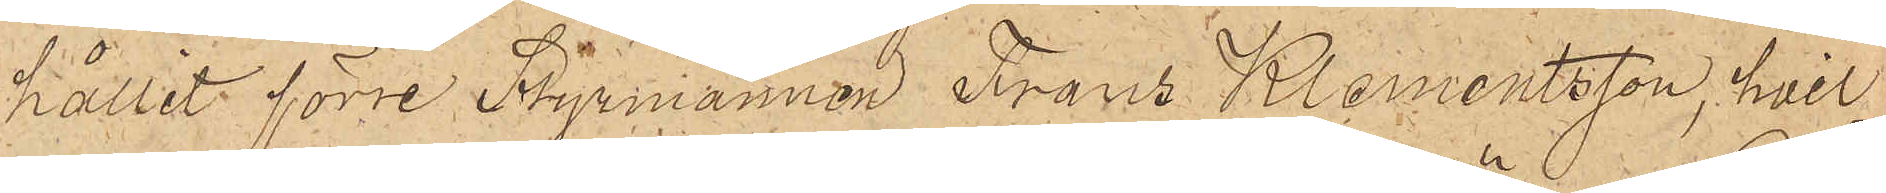hållit förre Styrmannen Frans Klementsson, hvil¬
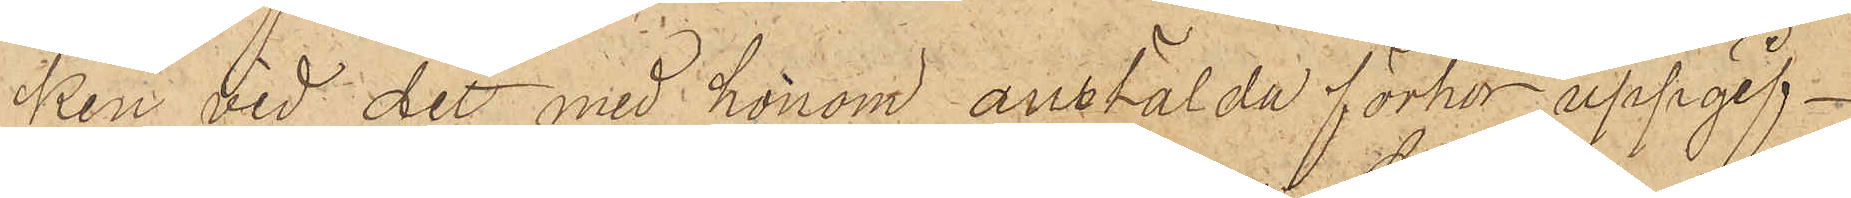ken vid det med honom anstälda förhör uppgif¬
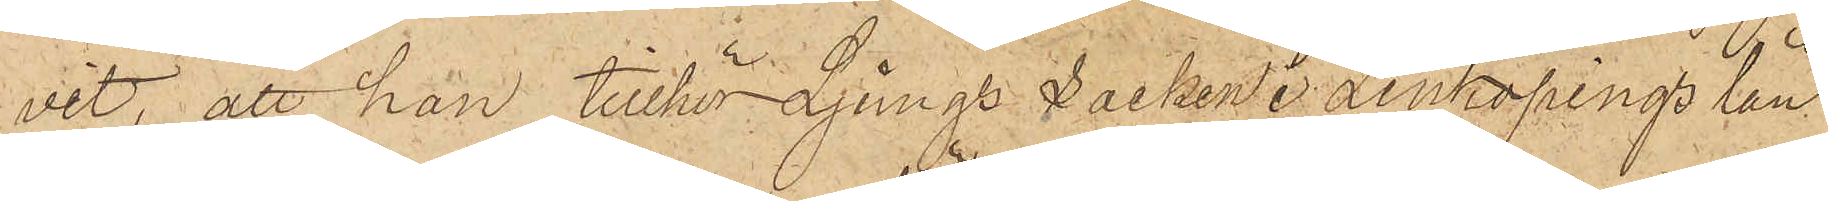vit; att han tillhör Ljungs Socken i Linköpings län
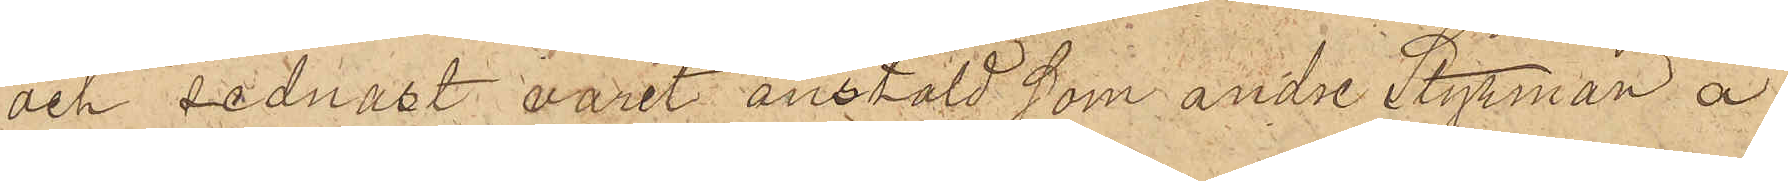och sednast varit anstäld som andre Styrman å
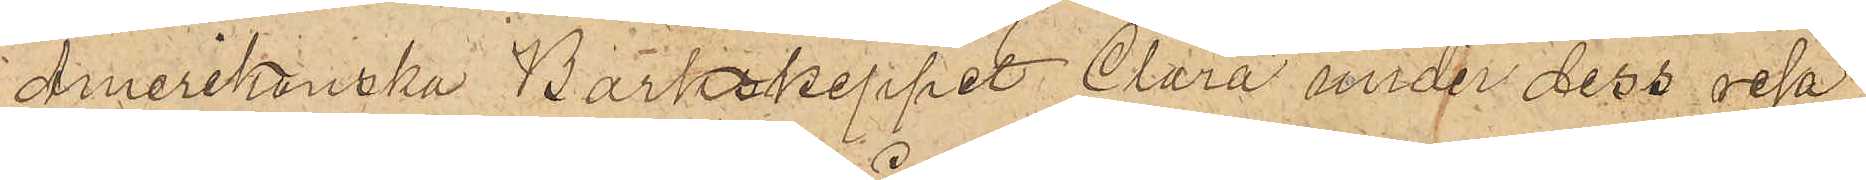Amerikanska Barkskeppet Clara under dess resa
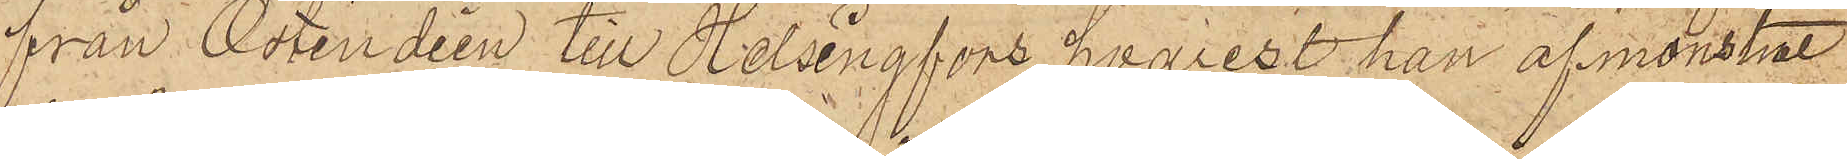från Ostindien till Helsingfors, hvarest han afmönstrat
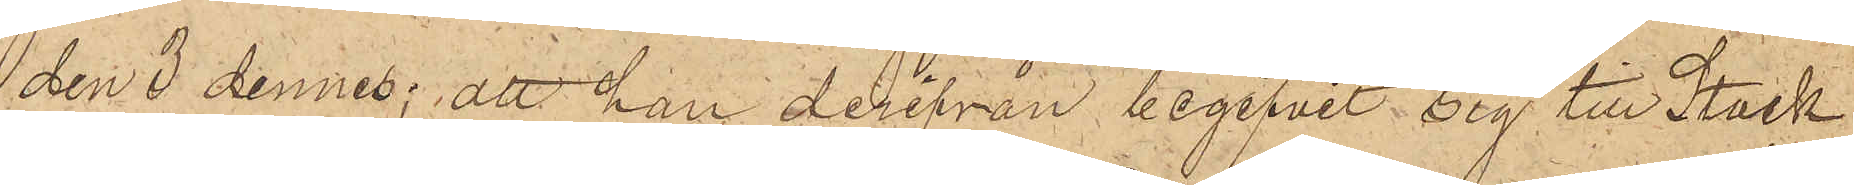den 3 dennes; att han derifrån begifvit sig till Stock¬
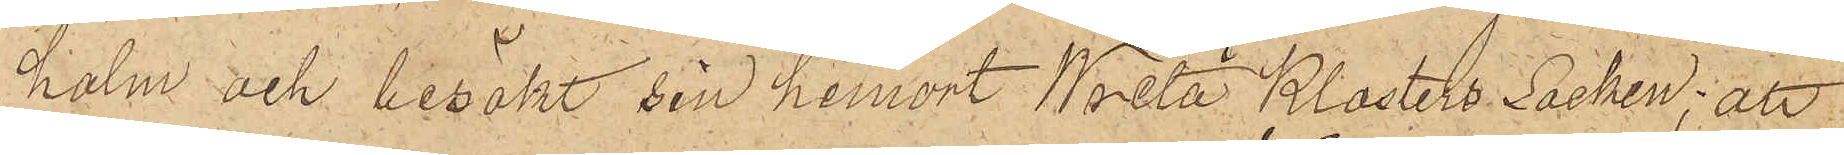holm och besökt sin hemort Wreta Klosters Socken; att
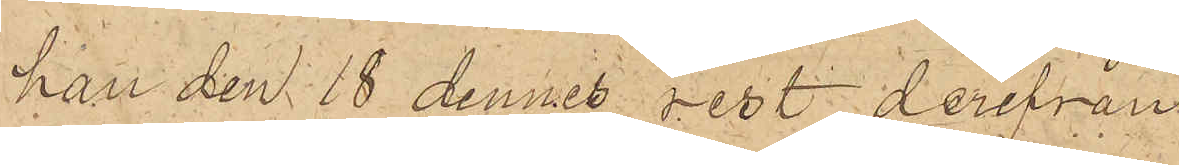han den 18 dennes rest derifrån
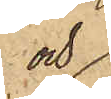och
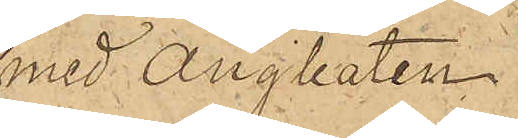med ångbåten
